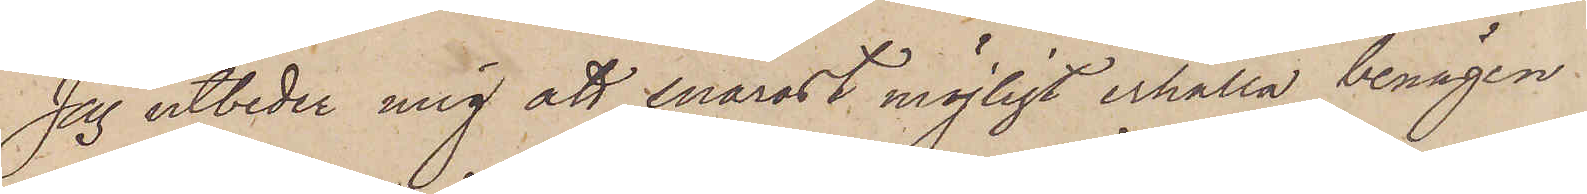Jag utbeder mig att snarast möjligt erhålla benägen.
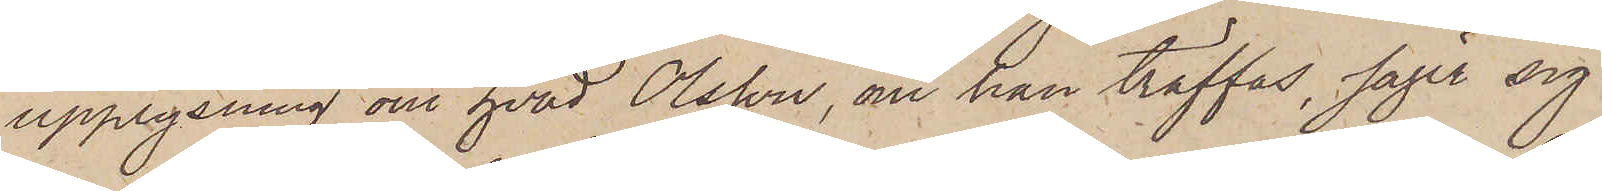upplysning om hvad Olsson, om han träffas, säger sig
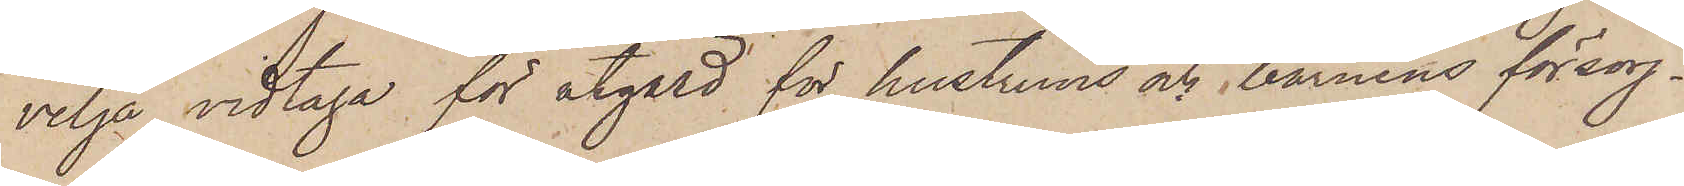vilja vidtaga för åtgärd för hustruns och barnens försörj¬
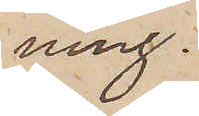ning.
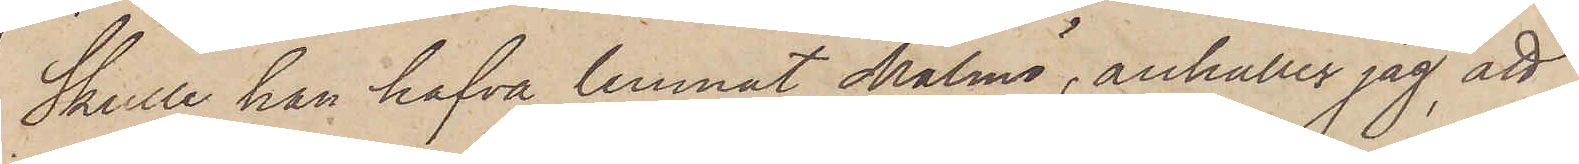Skulle han hafva lemnat Malmö, anhåller jag, att
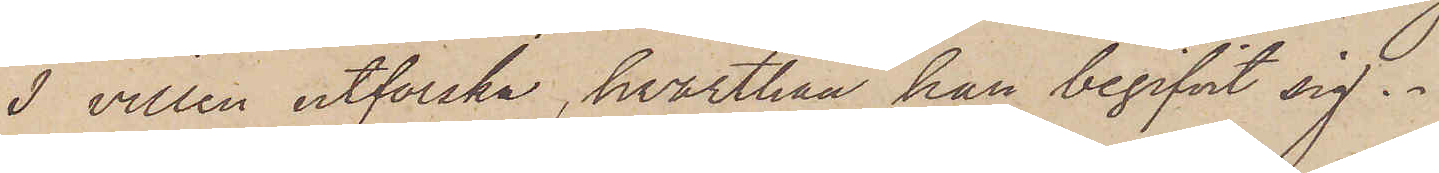I villen utforska, hvarthän han begifvit sig.
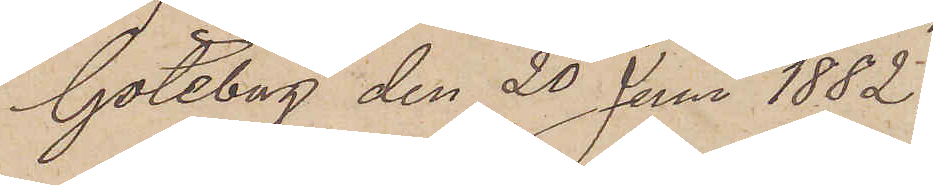Göteborg den 20 Juni 1882.
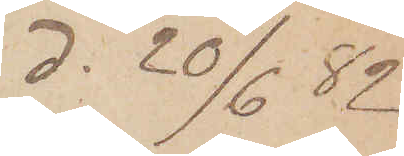d. 20/6 82
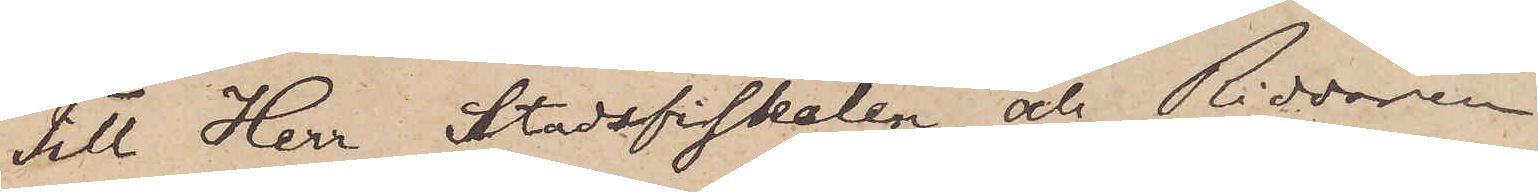Till Herr Stadsfiskalen och Riddaren
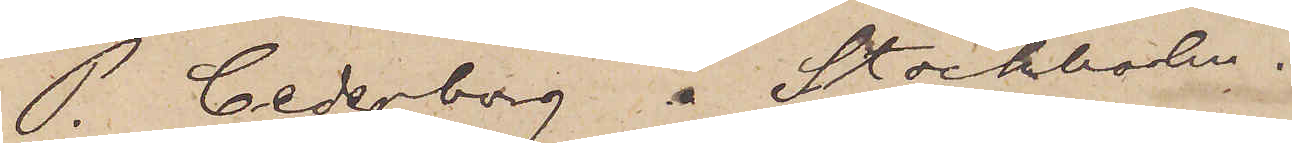P. Cederborg  Stockholm.
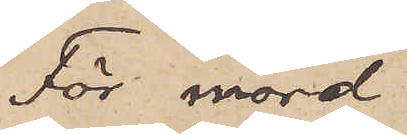För mord
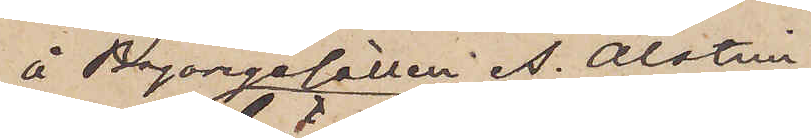å Bagaregesällen A. Alstrin
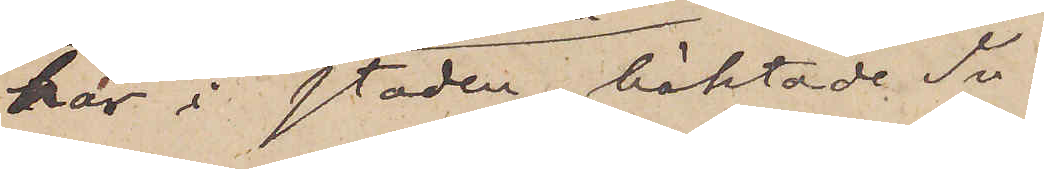här i staden häktade In¬
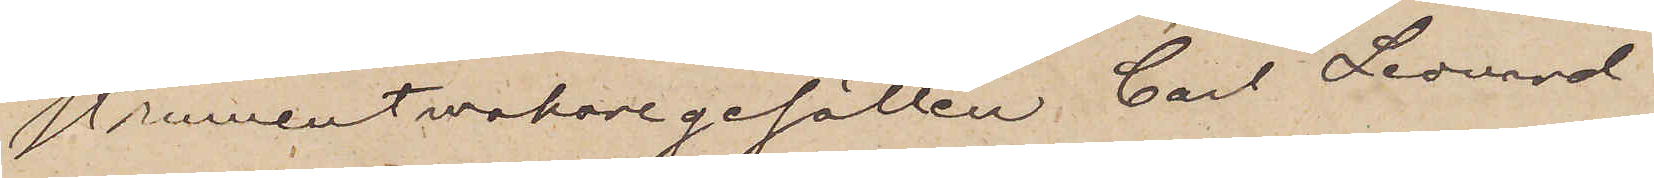strumentmakaregesällen Carl Leonard
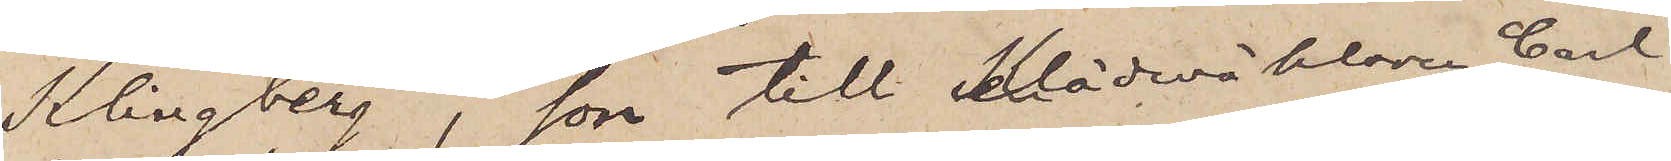Klingberg, son till Klädesmäklaren Carl
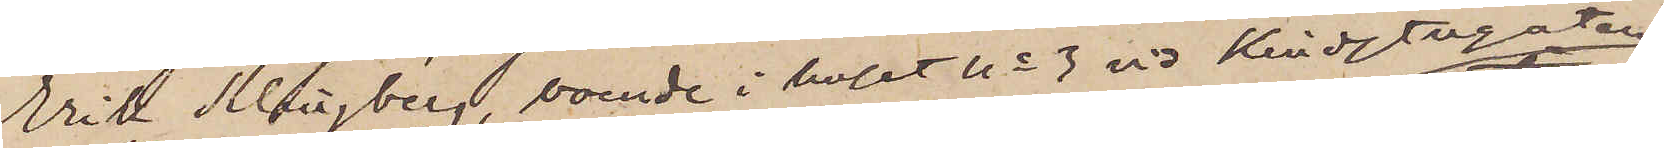Erik Klingberg, boende i huset No 3 vid Kindstugatan
